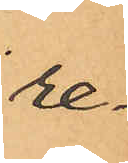re-
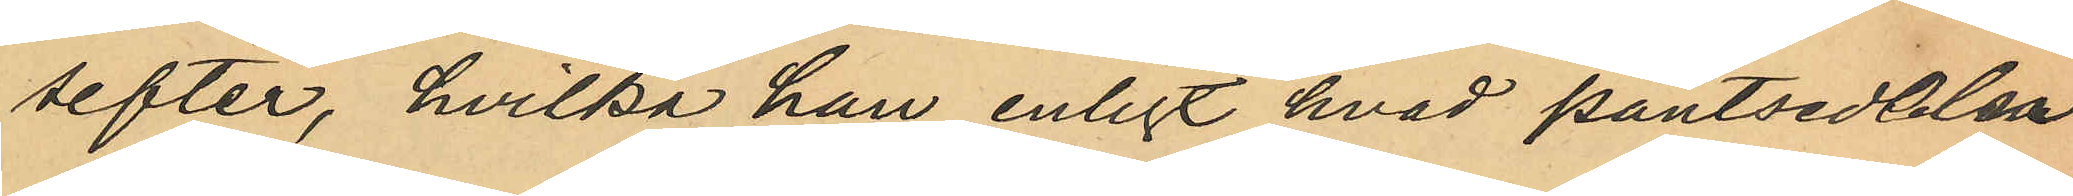sefter, hvilka han enligt hvad pantsedlarne
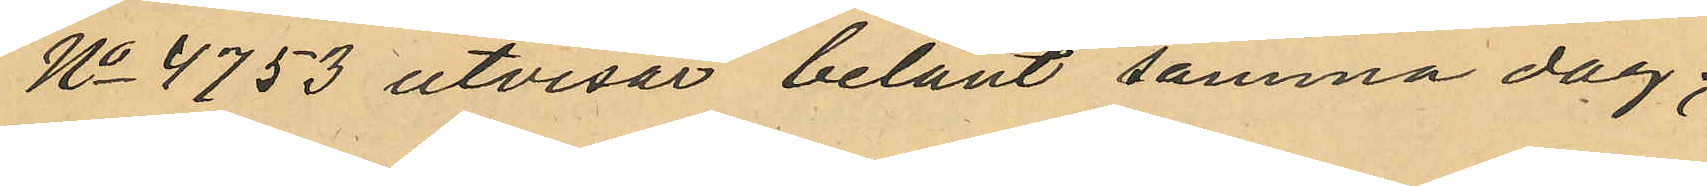No 4753 utvisar belånt samma dag;
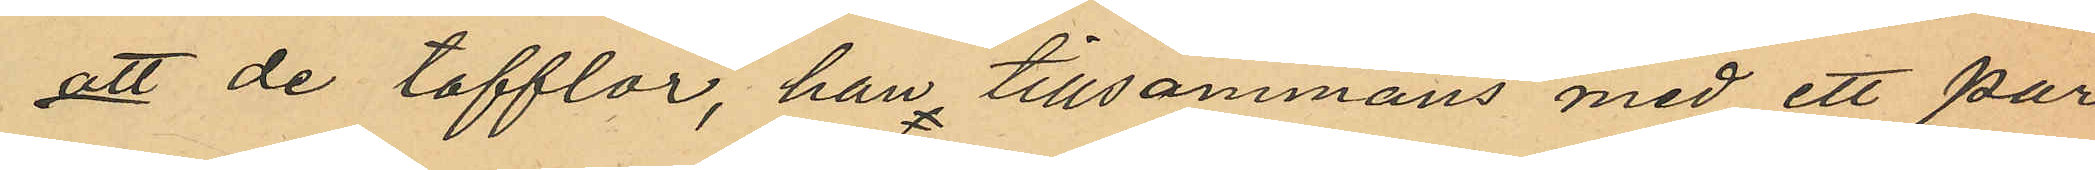att de tofflor, han tillsammans med ett par
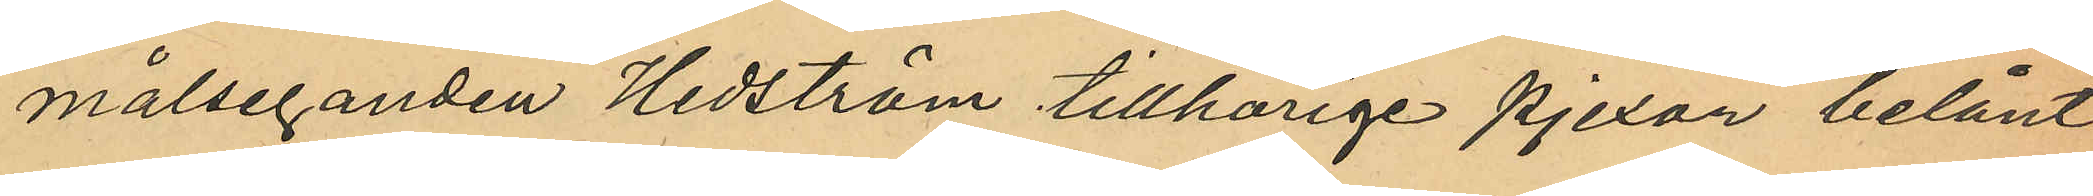målseganden Hedström tillhörige pjexor belånt
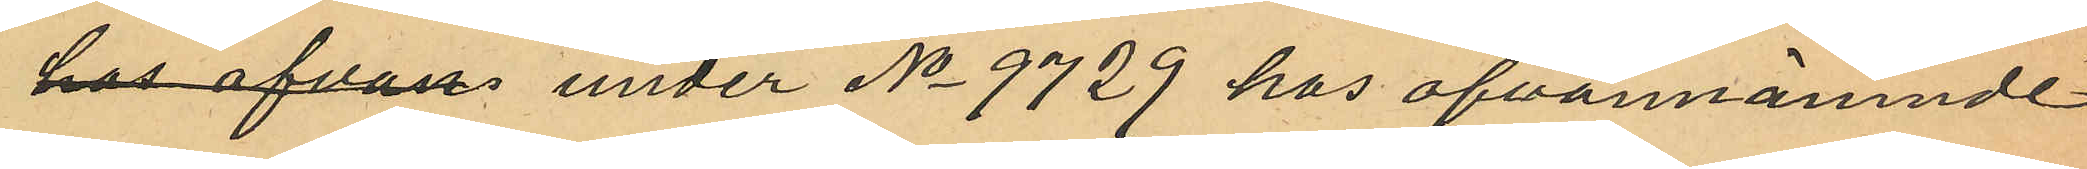hos ofvan under No 9729 hos ofvannämnde
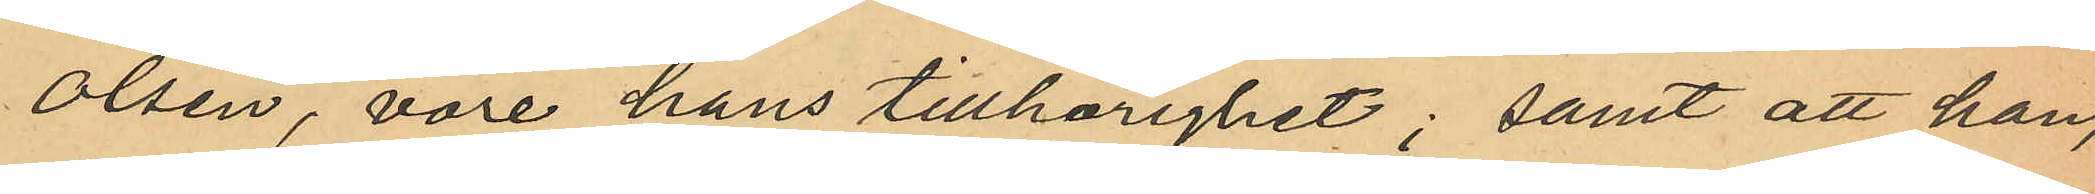Olsen, vore hans tillhörighet; samt att han,
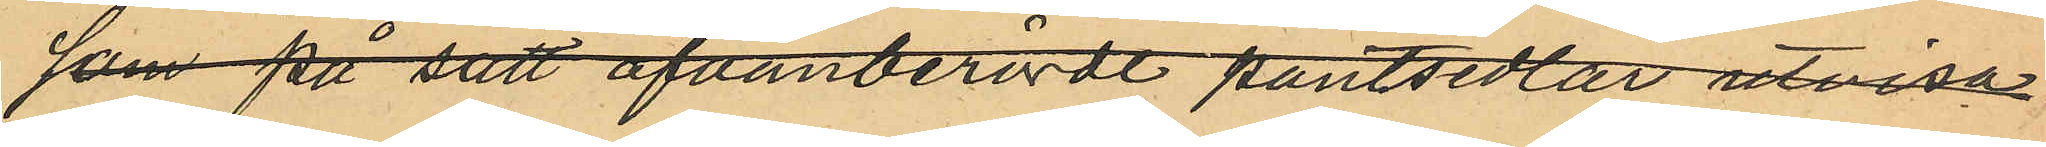som på sätt ofvanberörde pantsedlar utvisar
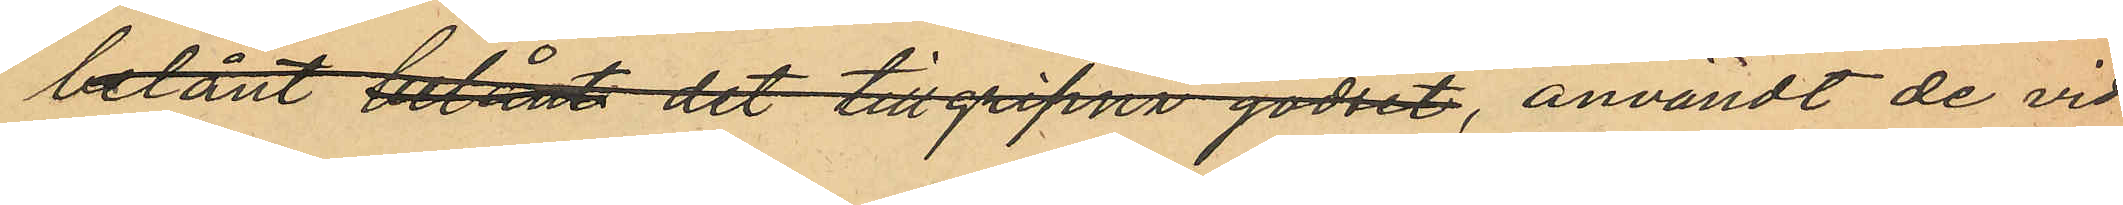belånt belånt det tillgripna godset, användt de vid
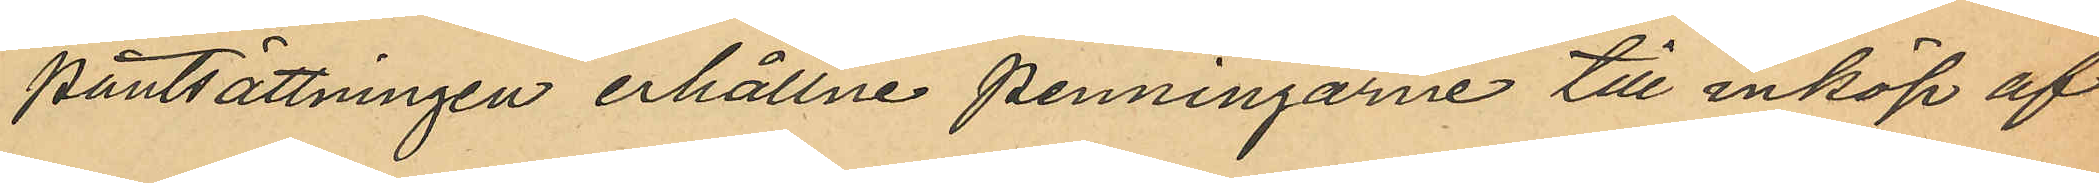pantsättningen erhållne penningarne till inköp af
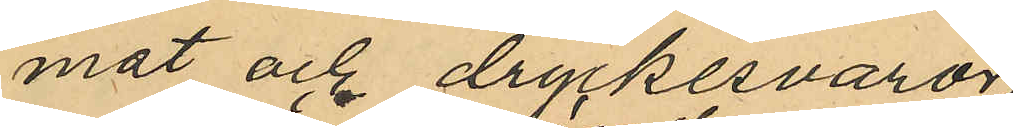mat och dryckesvaror
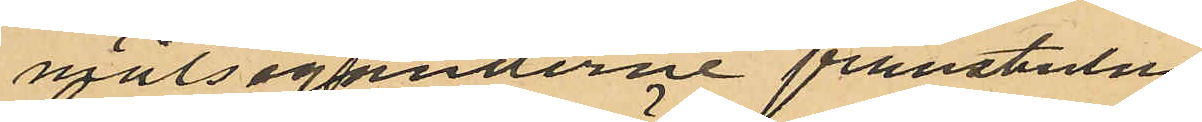målseganderne frånstulna
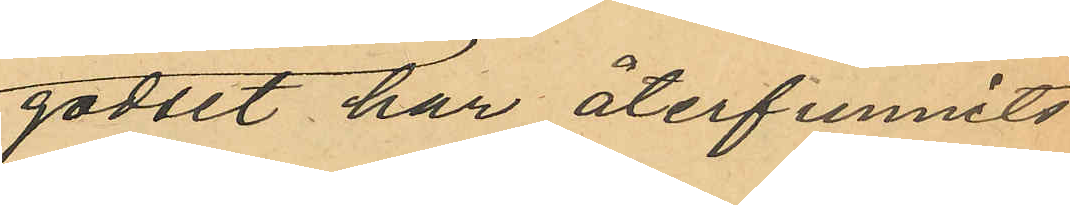godset har återfunnits
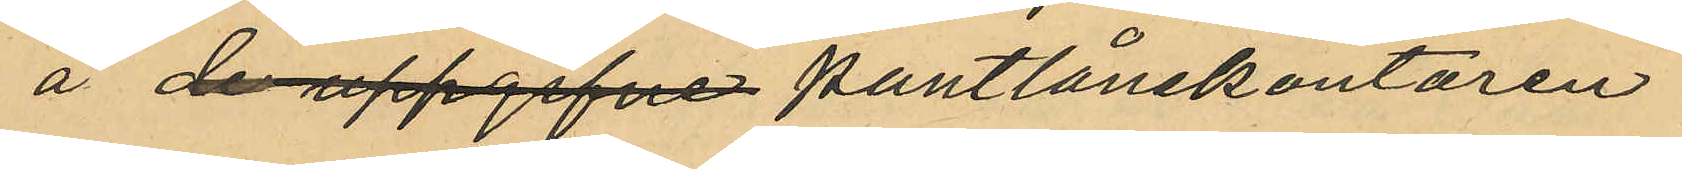å de uppgifna pantlånekontoren.
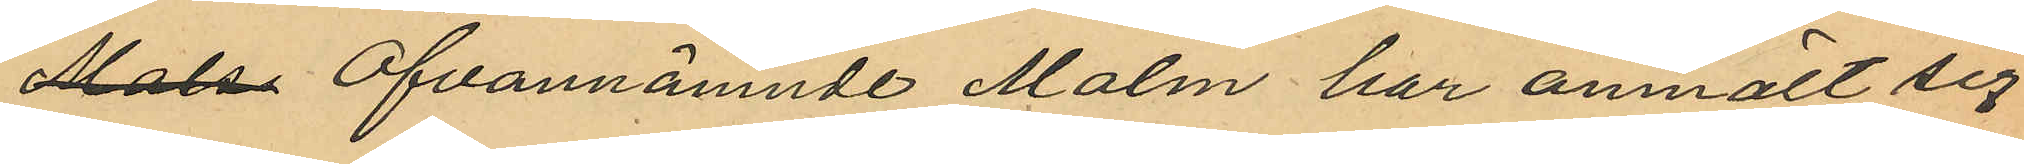Malm Ofvannämnde Malm har anmält sig
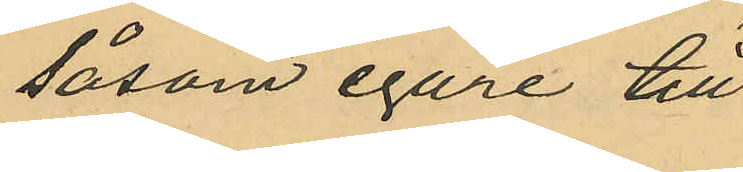såsom egare till 
